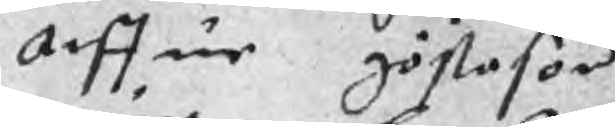Arffue göstason
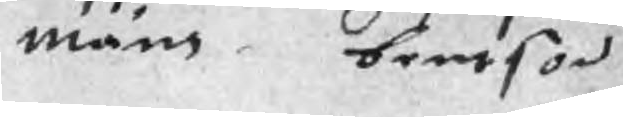måns bentson
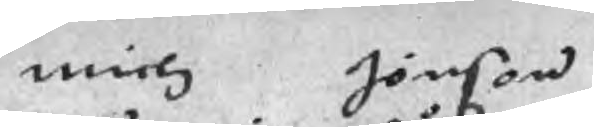niels Jönson
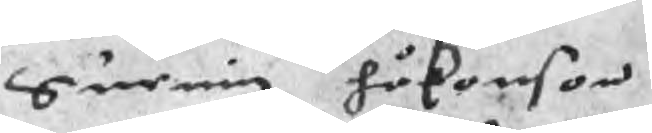Suening håkonson
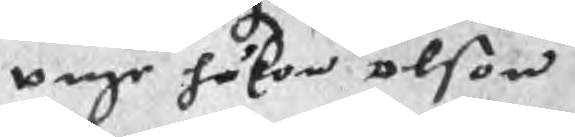unge håkon olson
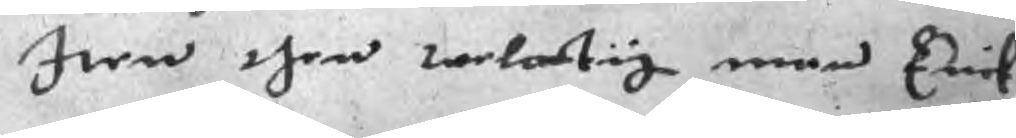Iten then welartig man Erick
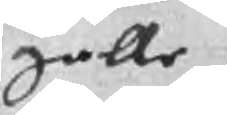galle.
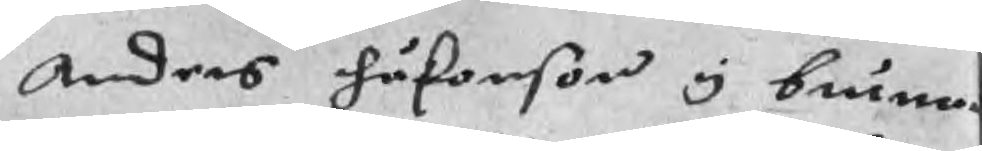Anders Håkonson y brunna
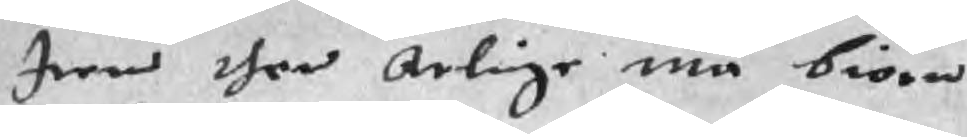Item then Arlige man biorn
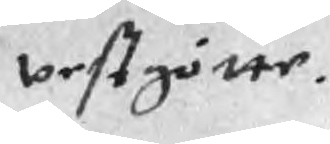westgötte.
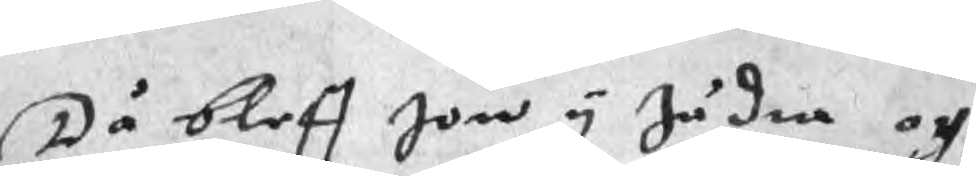Då bleff Jon i Jädra och
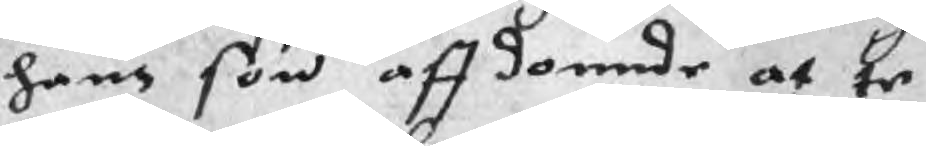hans son affdomnde at te
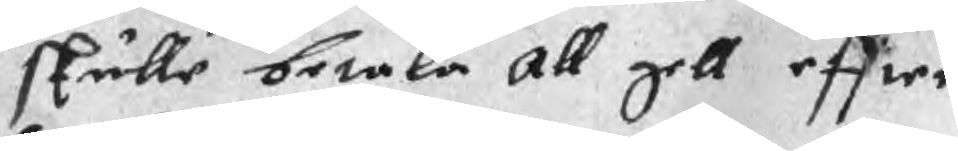skulle betala all gell effter
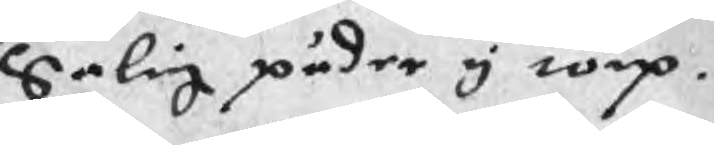Salig päder i torp.
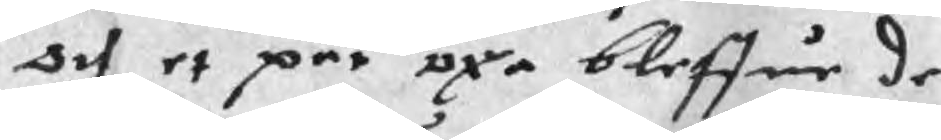och et par oxa bleffue de
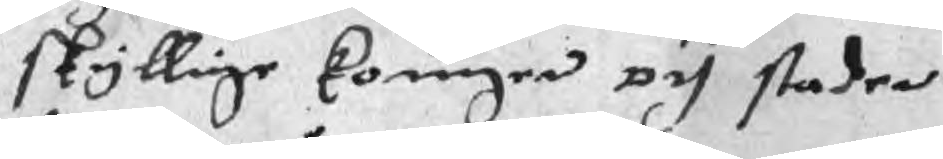skyllige koungen och staden
